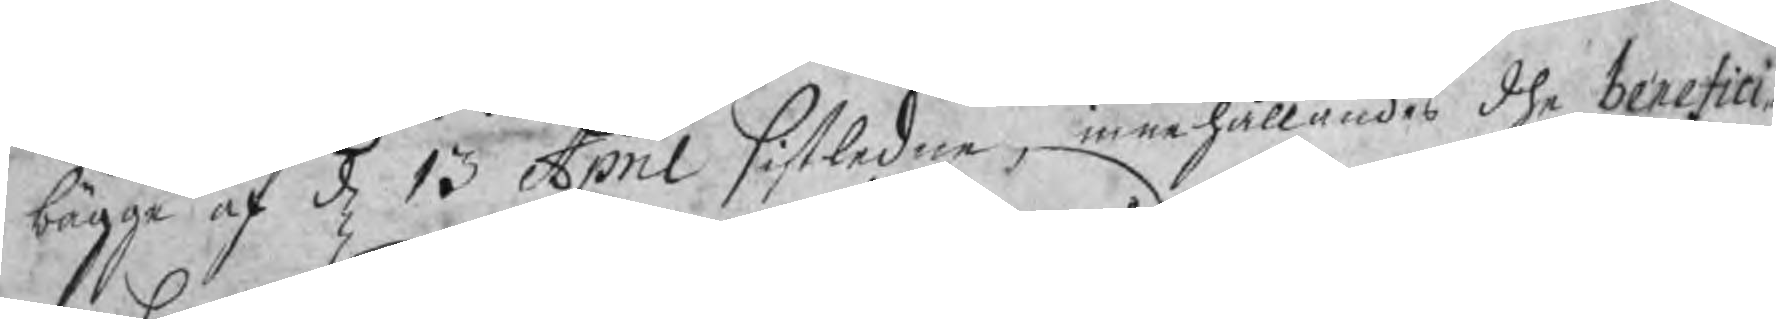bägge af d 13 April sistledne, innehållandes dhe benefici¬
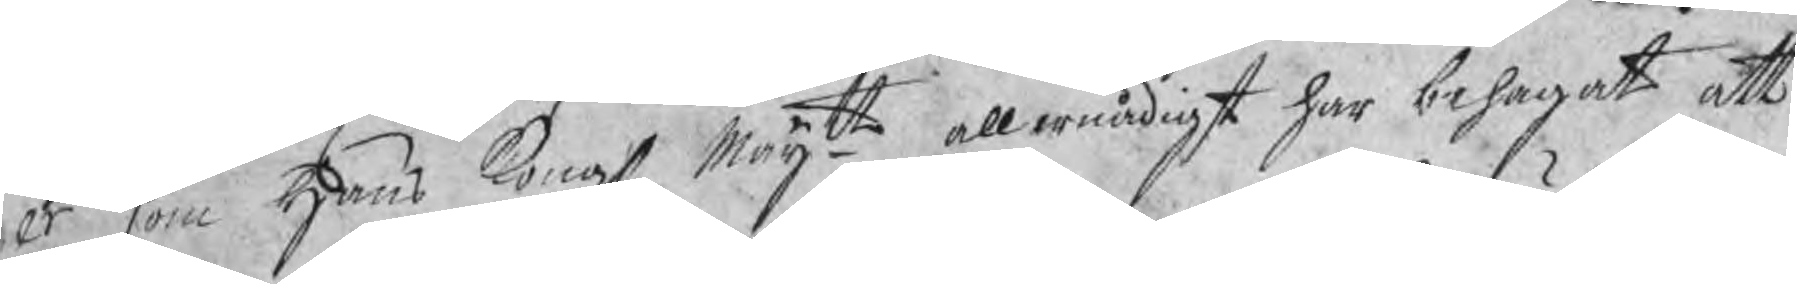er som Hans Kongl Maijtt allernådigst har behagat att
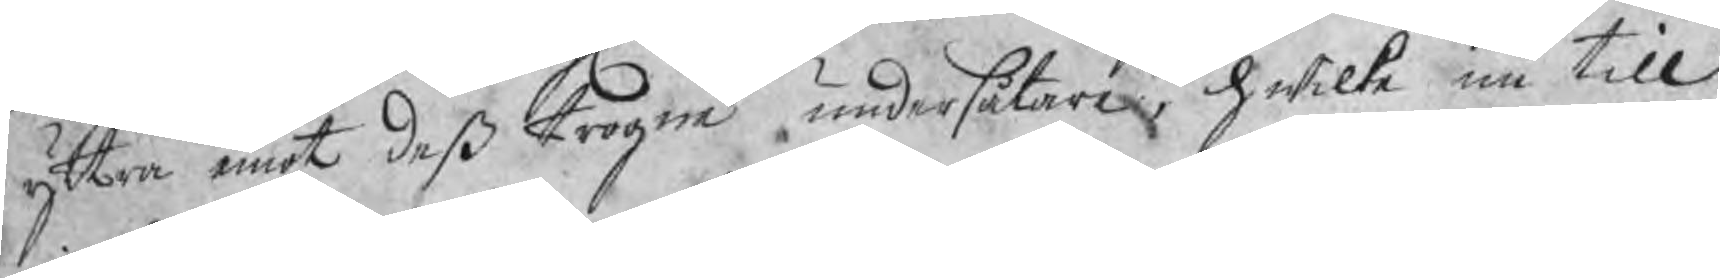yttra emot deß trogna undersåtare, hwilka nu till
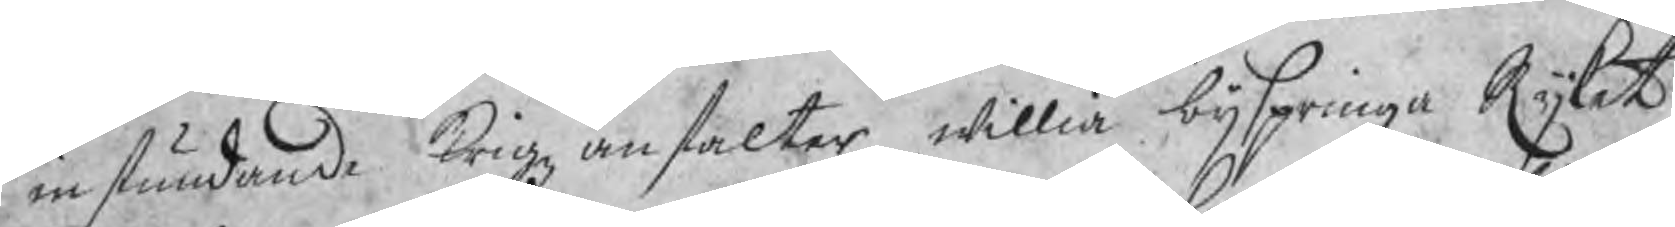instundande krigz anstalter willia bijspringa Rijket
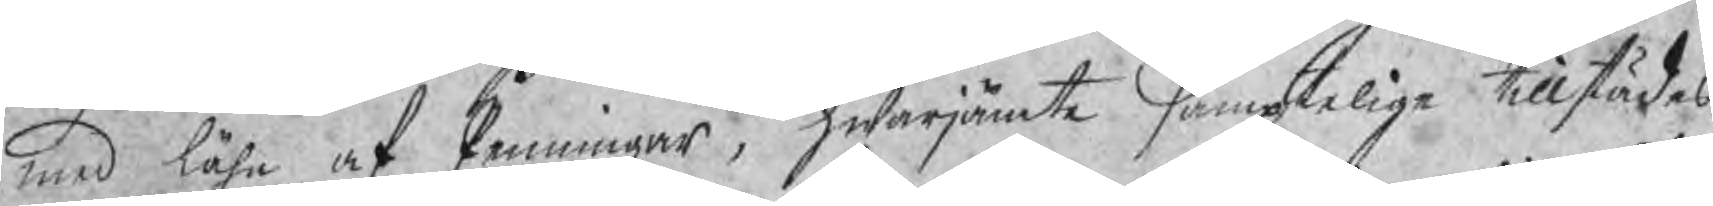med låhn och Penningar, hwarjämte samptelige tillstädes
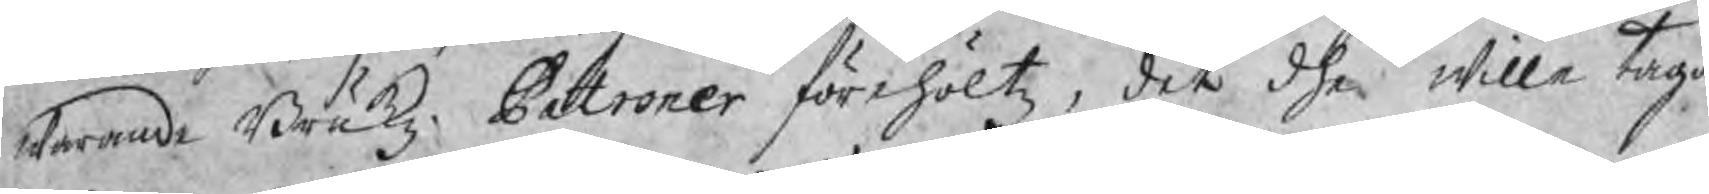warande Brukz Patroner förehöltz, det dhe wille taga 
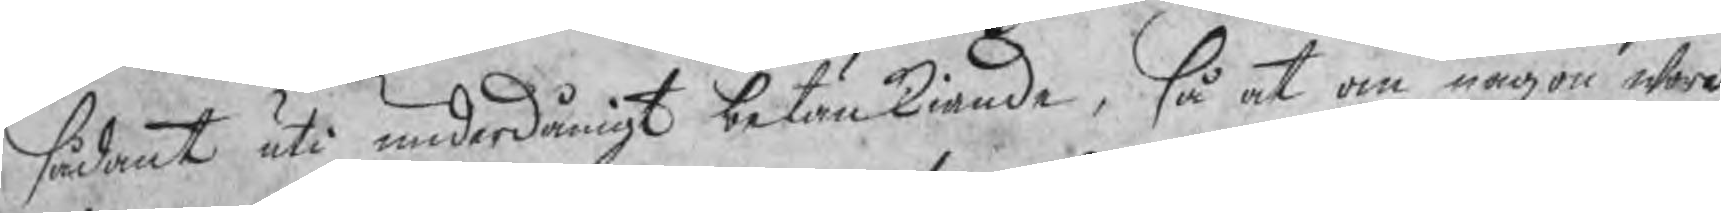sådant uti underdånigt betänkiande, så at om någon wore
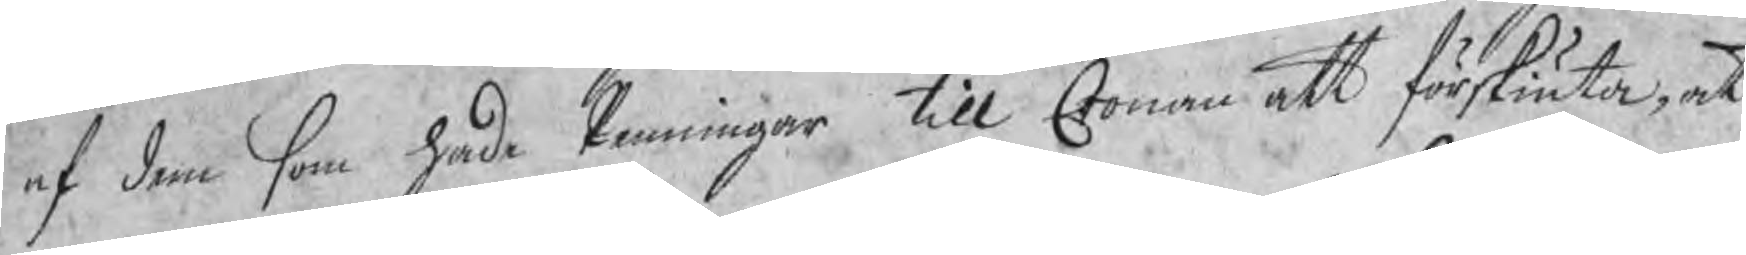af dem som hade Penningar till Cronan att förskjuta, at
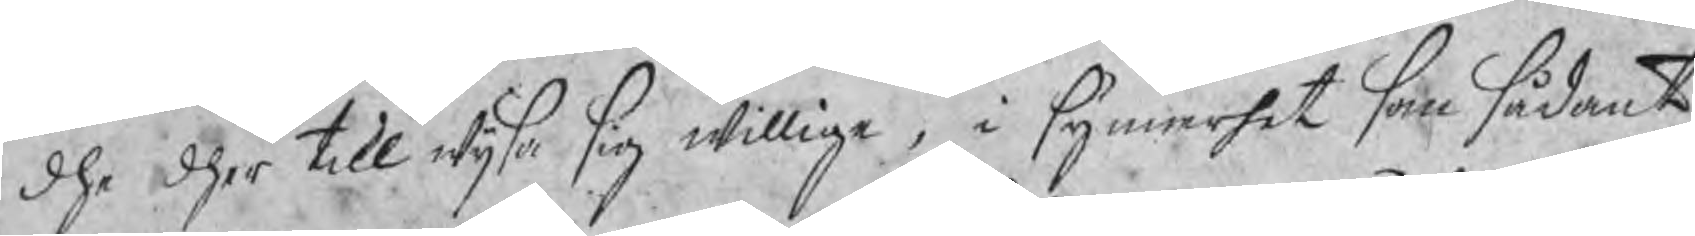dhe dher till wijsa sig willige, i synnerhet som sådant
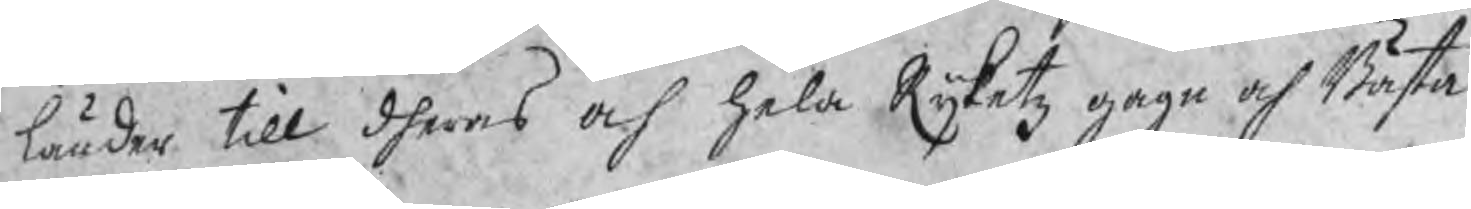länder till dheras och hela Rijketz gagn och Bästa
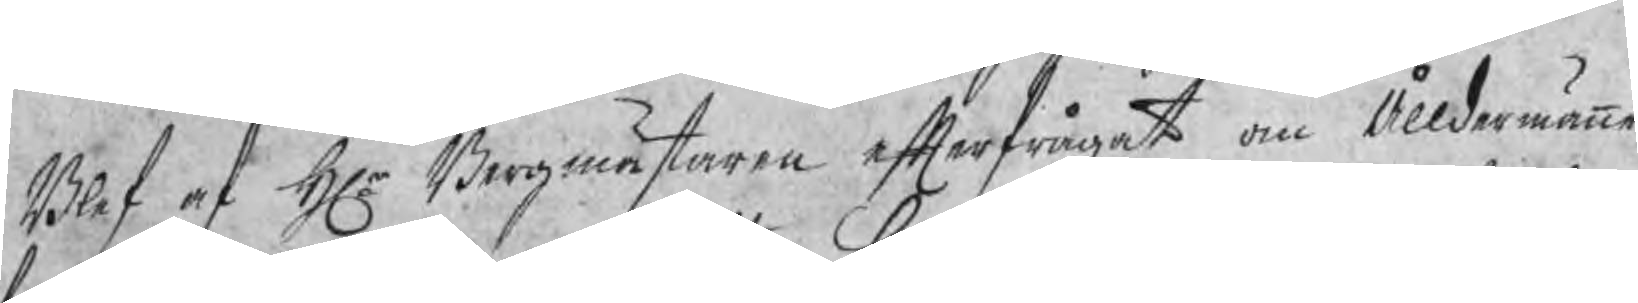Blef af Hr Bergmästaren efterfrågat om Ålldermännen
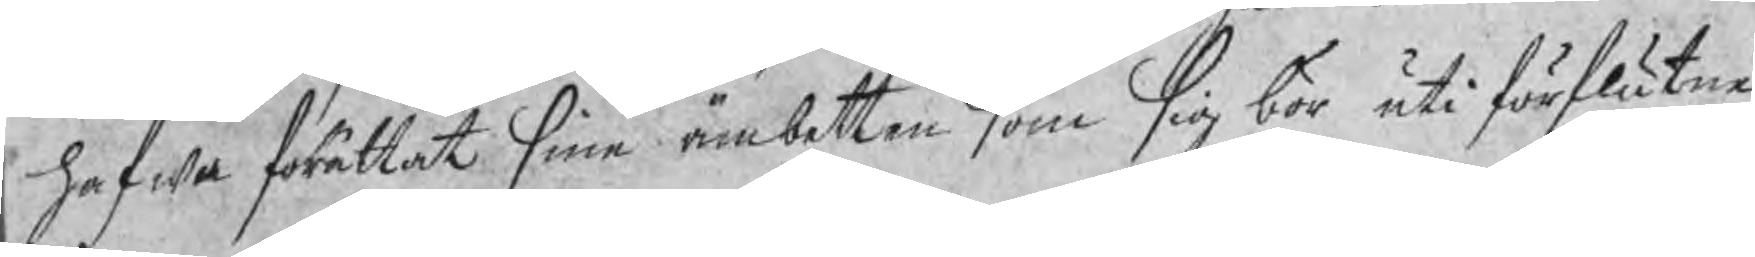hafwa förättat sine ämbetten som sig bör uti förflutne
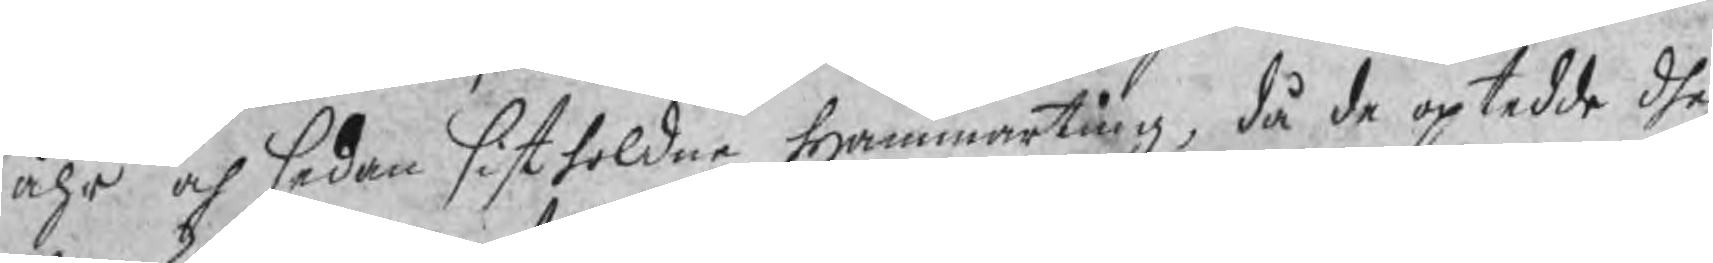åhr och sedan sistholdne Hammarting, då de optedde dhe
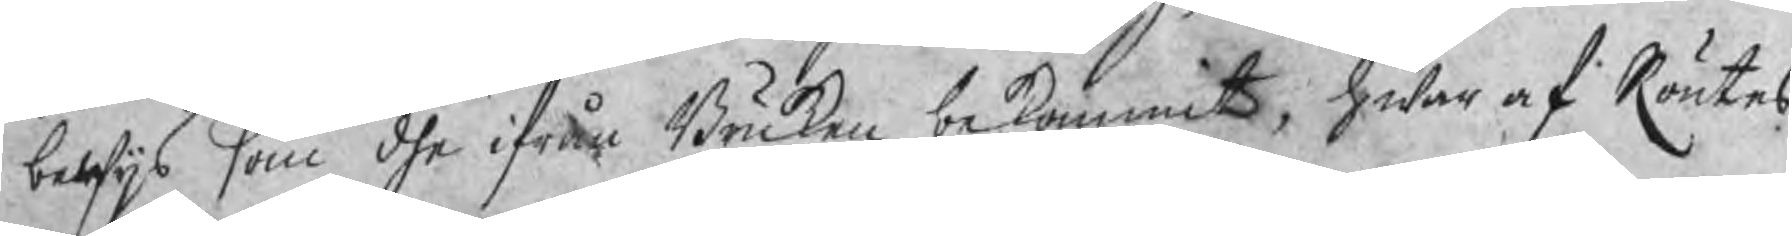bewijs som dhe ifrån Bruken bekommit, hwar af Röntes
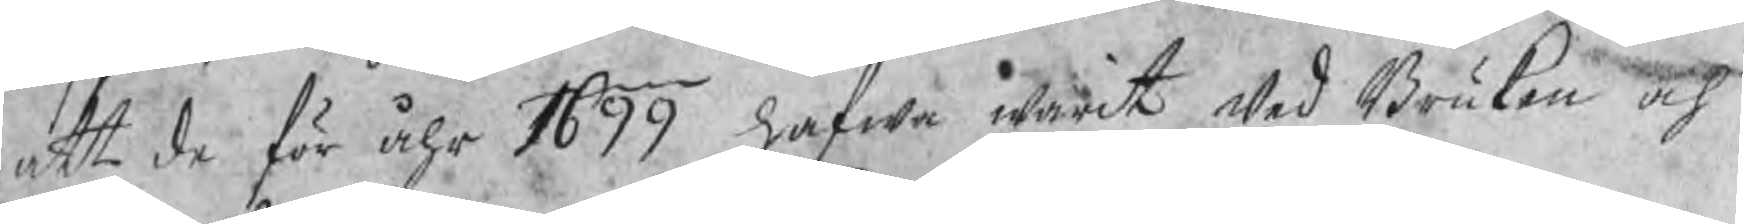att de för åhr 1699 hafwa warit wed Bruken och
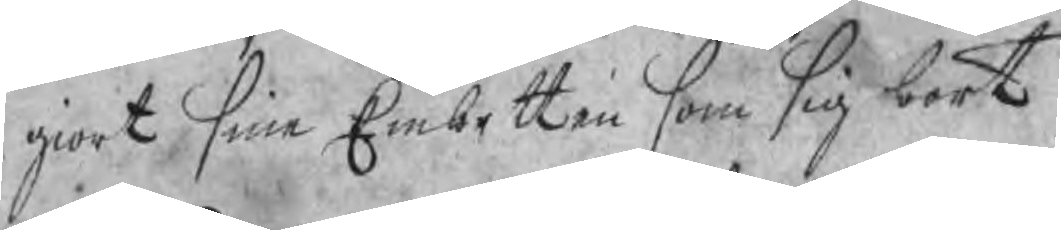giort sine Embetten som sig bort.
